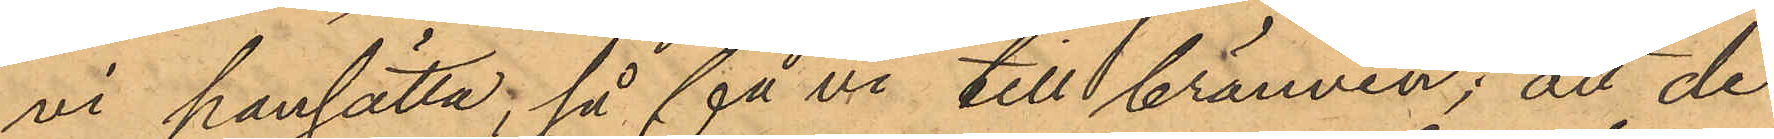vi pansätta, så få vi till brännvin;" att de
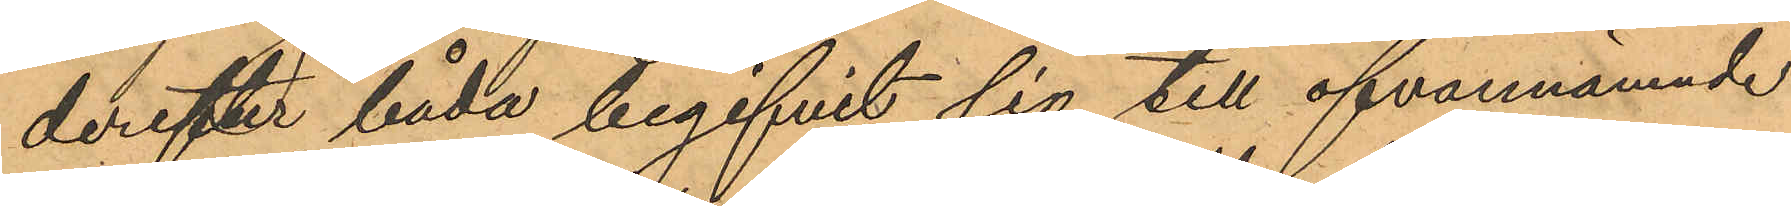derefter båda begifvit sig till ofvannämnde
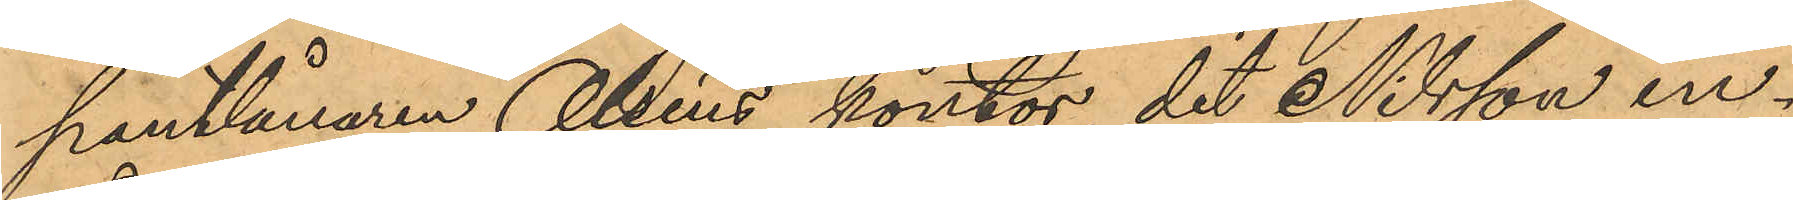pantlånaren Olséns kontor, dit Nilsson in¬
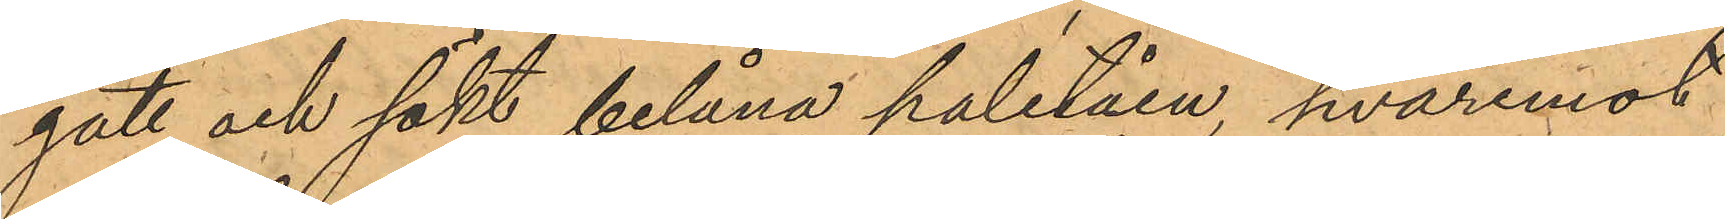gått och sökt belåna paletåen, hvaremot
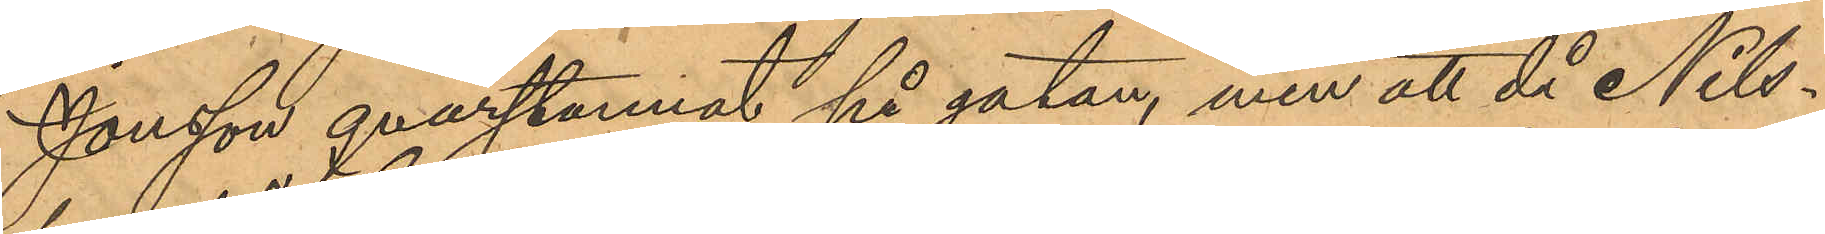Jonsson qvarstannat på gatan, men att då Nils¬
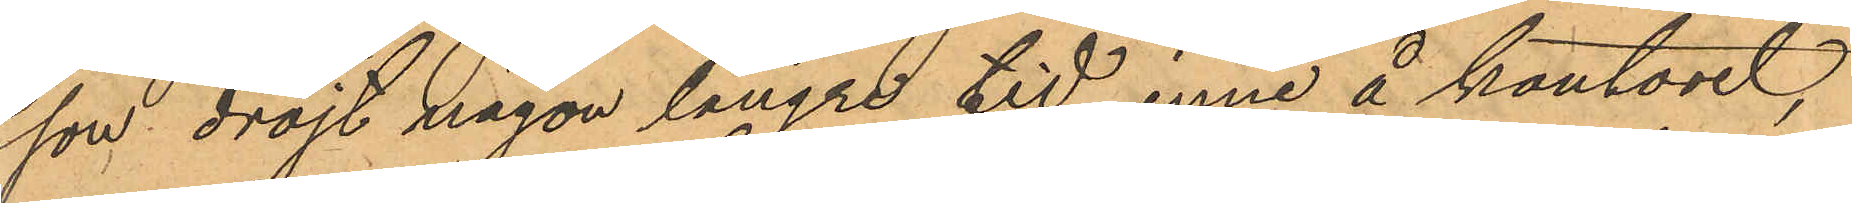son dröjt någon längre tid inne å kontoret,
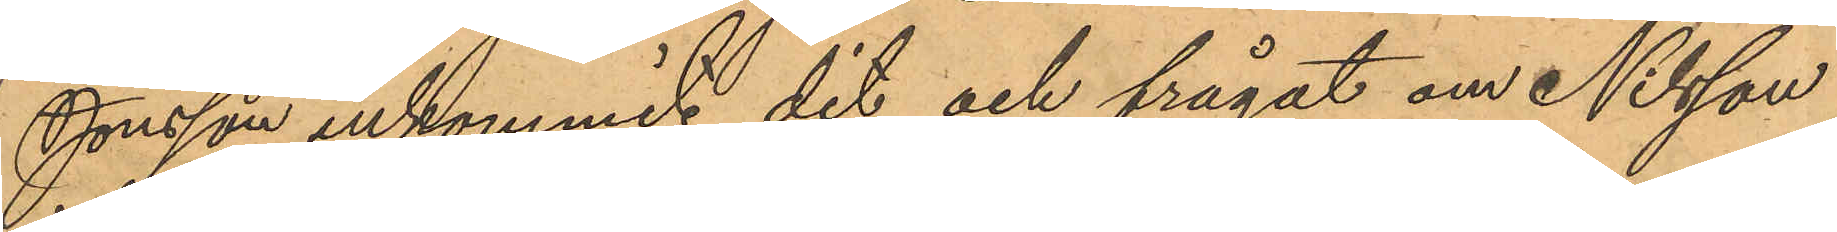Jonsson ankommit dit och frågat om Nilsson
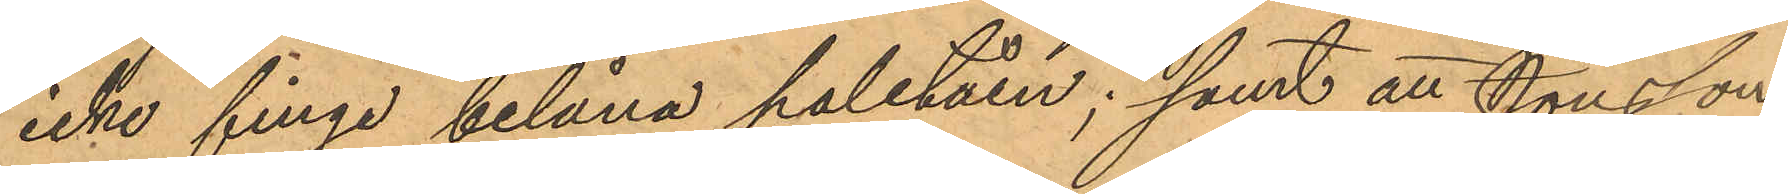icke finge belåna paletåen; samt att Jonsson
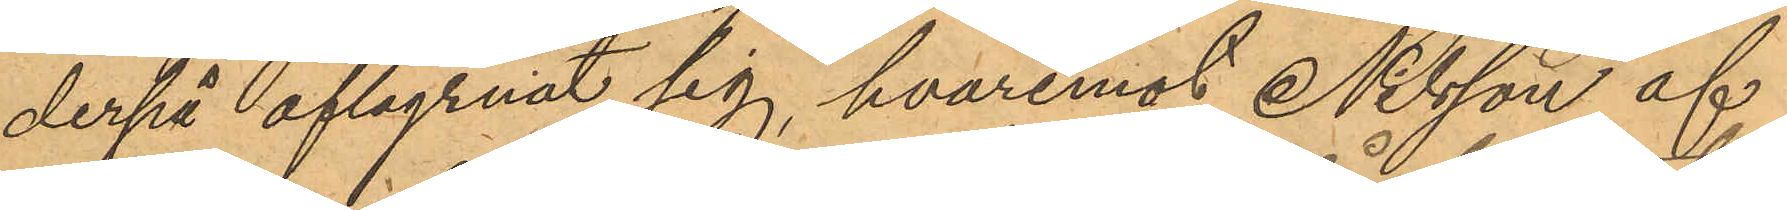derpå aflägsnat sig, hvaremot Nilsson af
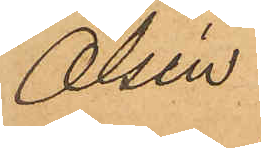Olsén
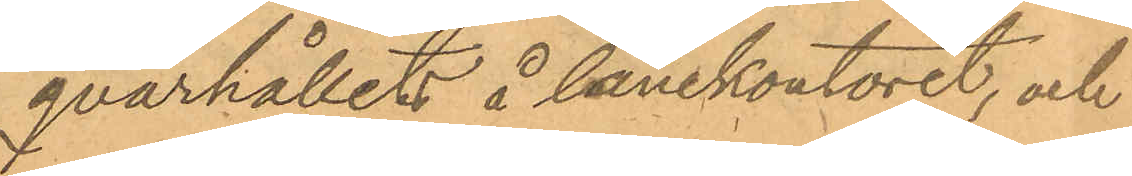qvarhållet å lånekontoret, och
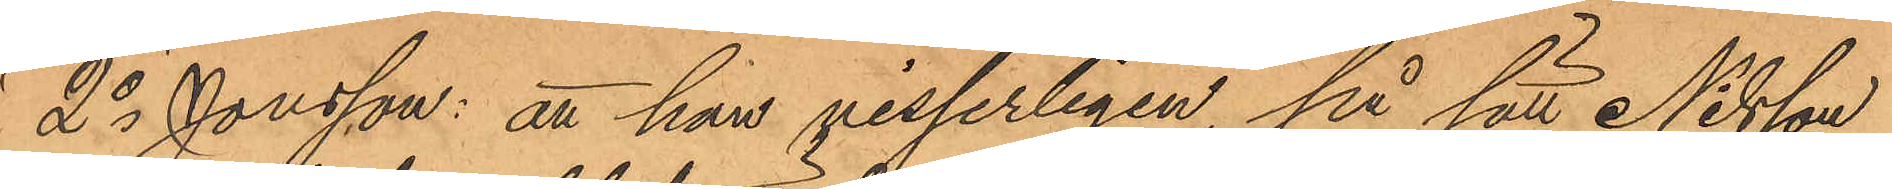2o Jonsson: att han visserligen, på sätt Nilsson
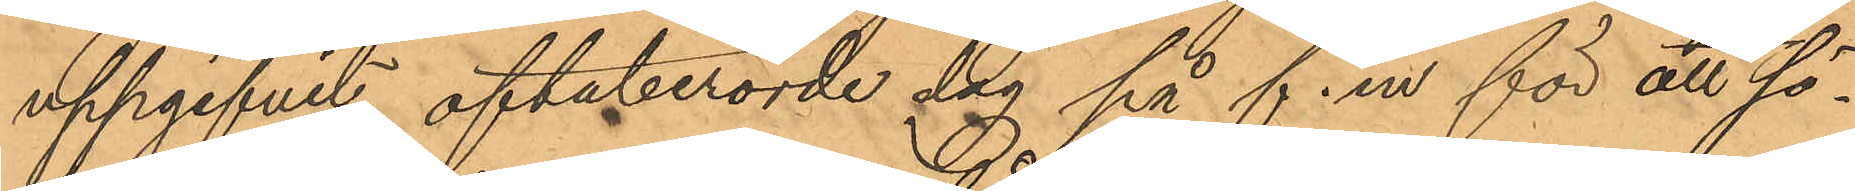uppgifvit oftaberörde dag på f.m för att sö¬
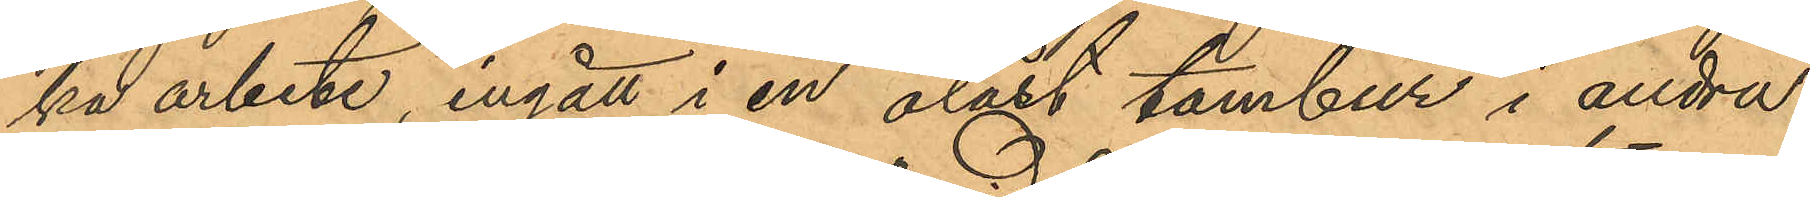ka arbete, ingått i en olåst tambur i andra
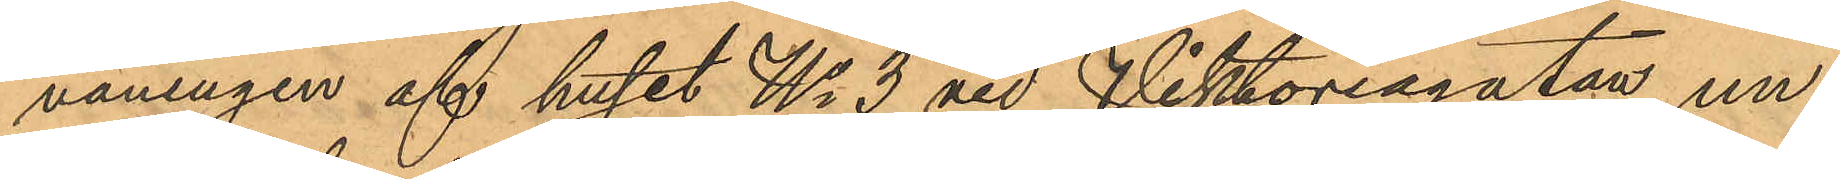våningen af huset No 3 vid Viktoriagatan, un¬
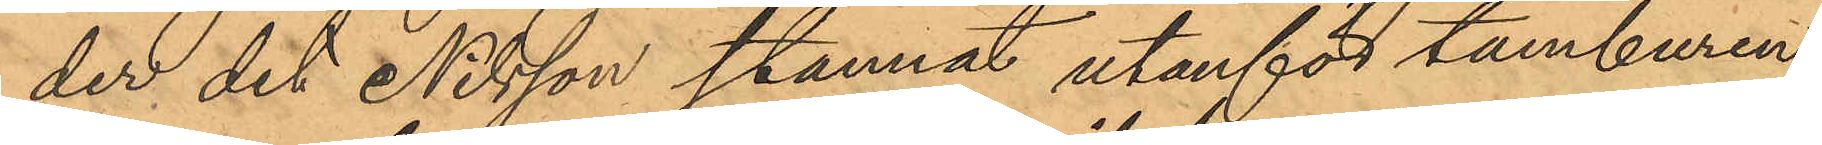der det Nilsson stannat utanför tamburen,
